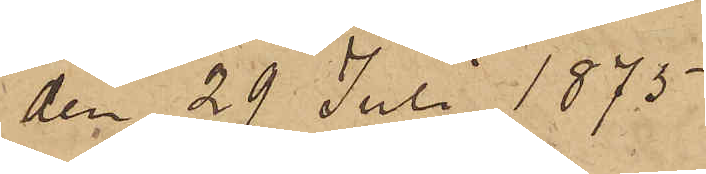den 29 Juli 1875.
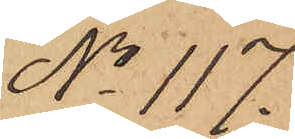No 117.
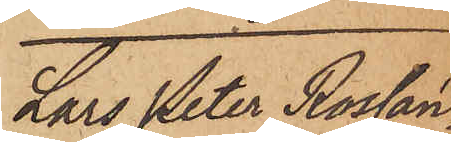Lars Peter Rossan¬
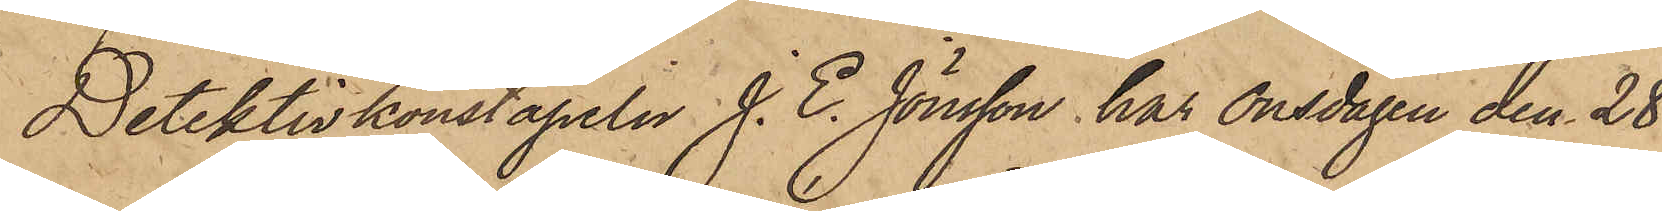Detektivkonstapeln J. E. Jönsson har onsdagen den 28
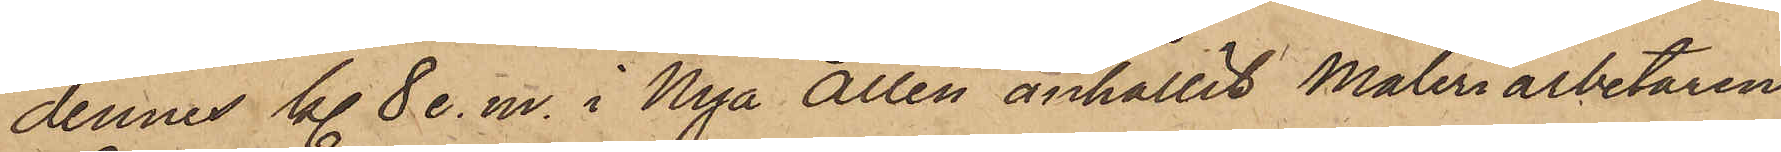dennes kl 8 e. m. i Nya Allén anhållit Måleriarbetaren
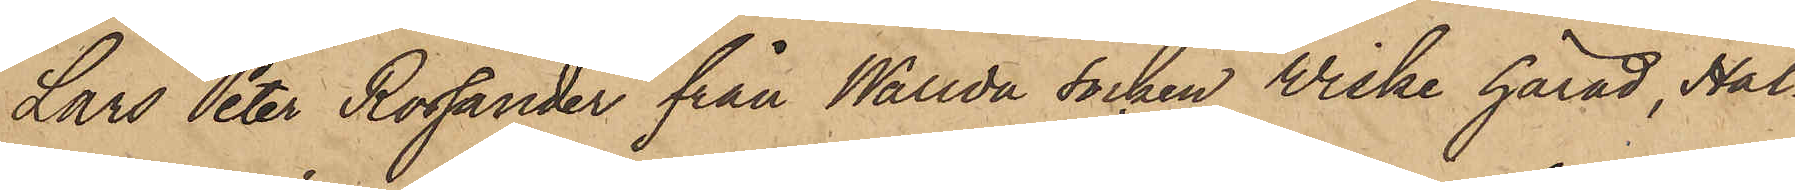Lars Peter Rossander från Wallda socken Wiske härad, Hal¬
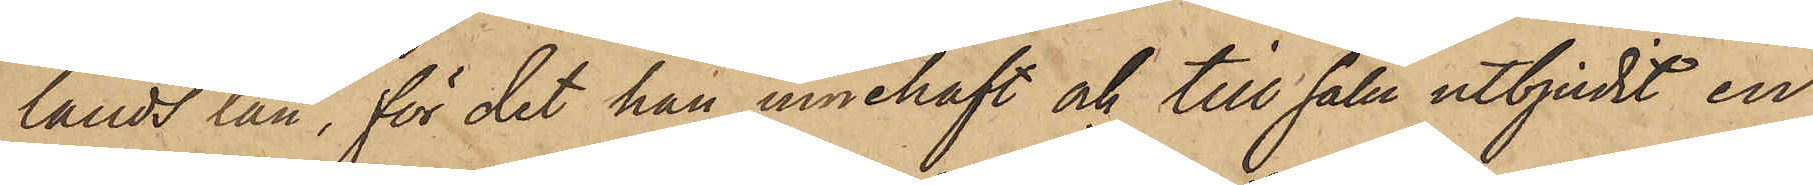lands län, för det han innehaft och till salu utbjudit en
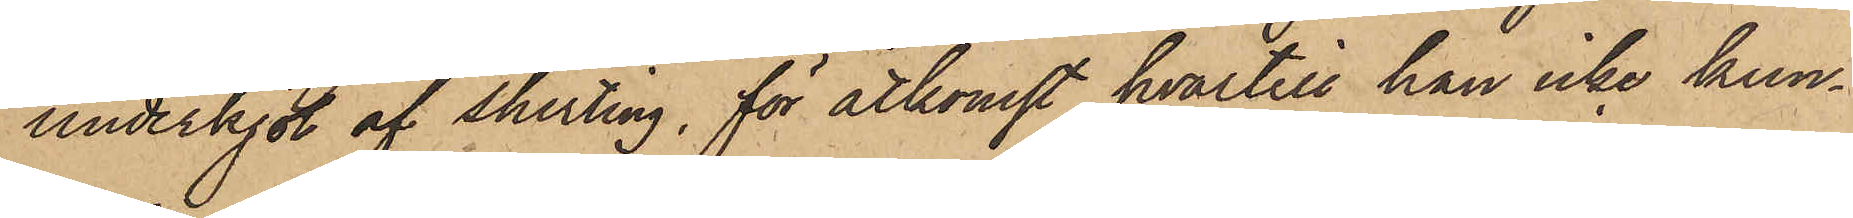underkjol af shirting, för åtkomst hvartill han icke kun¬
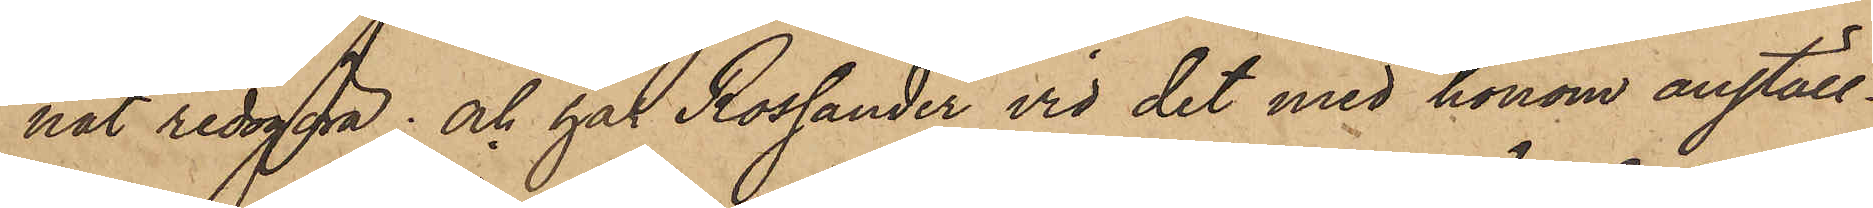nat redogöra; och har Rossander vid det med honom anställ¬
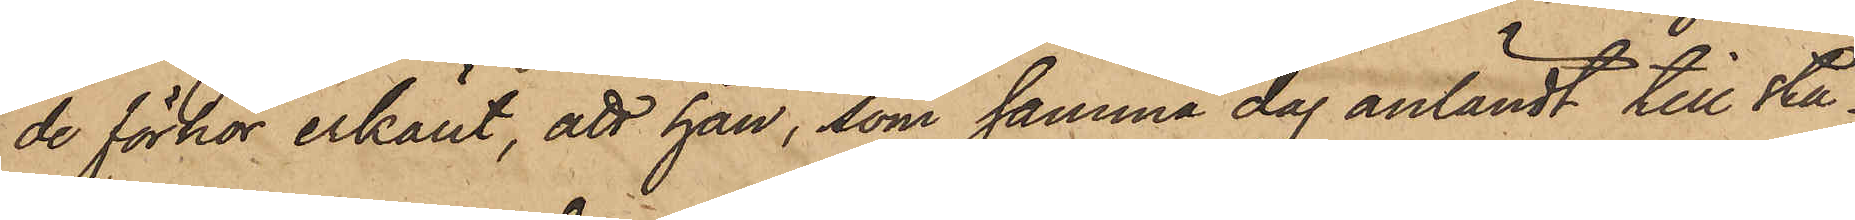de förhör erkänt, att han, som samma dag anländt till sta¬
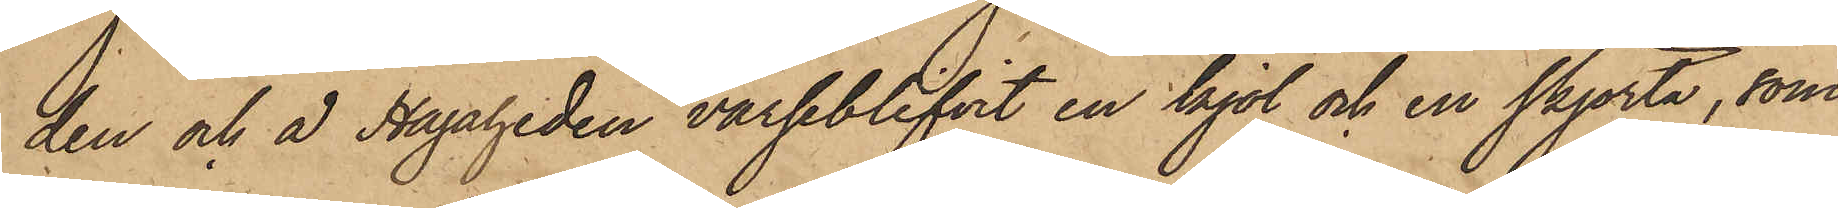den och å Hagaheden varseblifvit en kjol och en skjorta, som
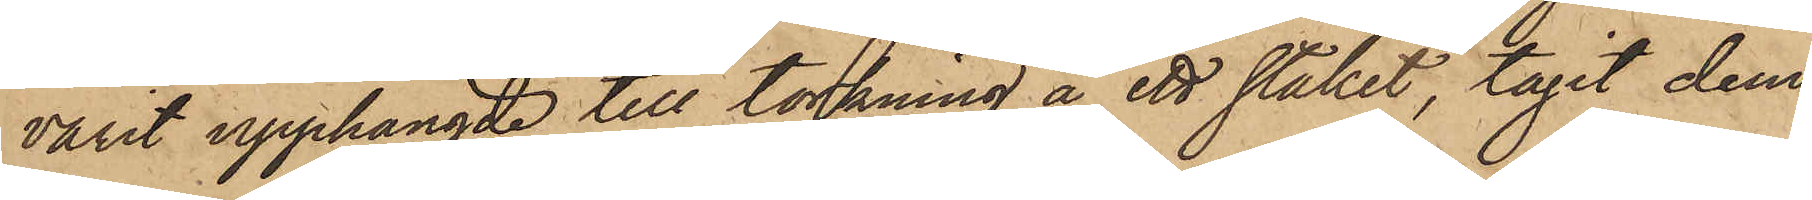varit upphängde till torkning å ett staket, tagit dem
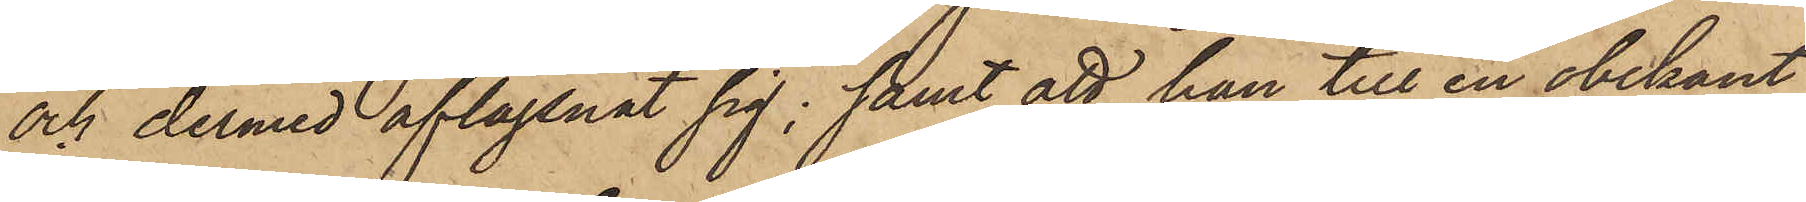och dermed aflägsnat sig; samt att han till en obekant
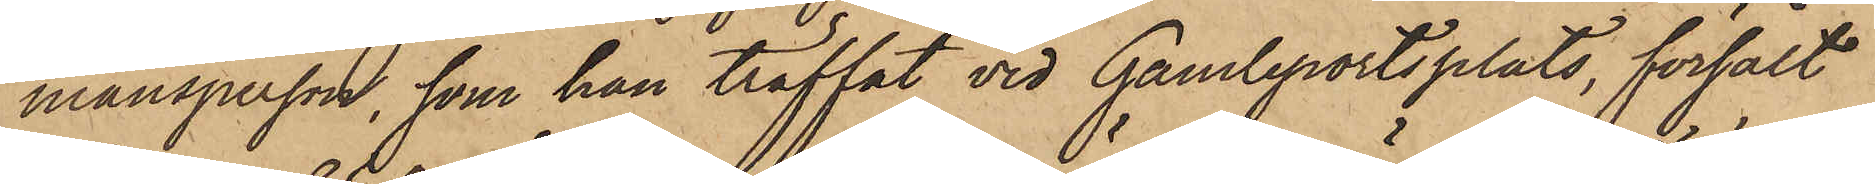mansperson, som han träffat vid Gamleportsplats, försålt
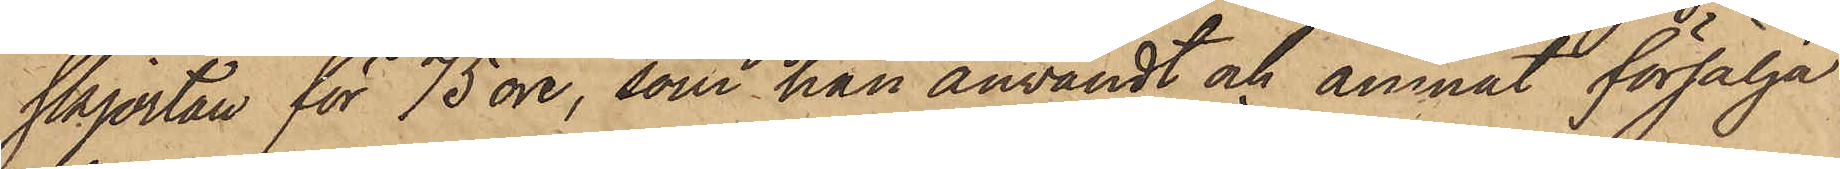skjortan för 75 öre, som han användt och ämnat försälja
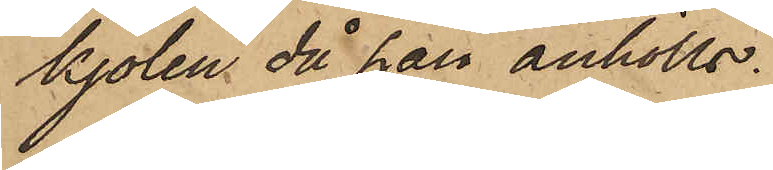kjolen, då han anhölls.
